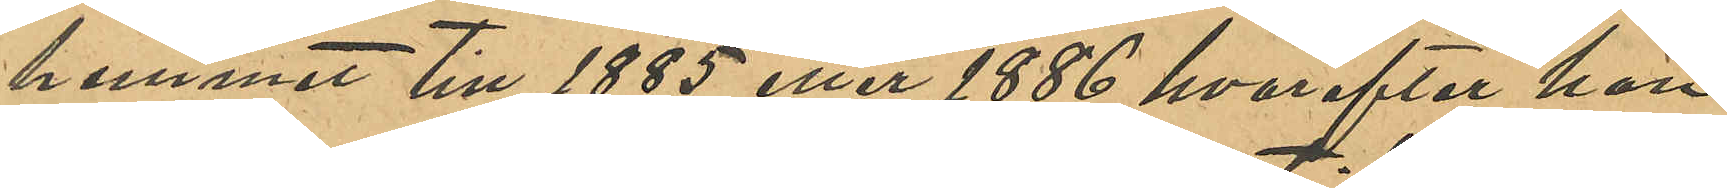hemmet till 1885 eller 1886 hvarefter hon
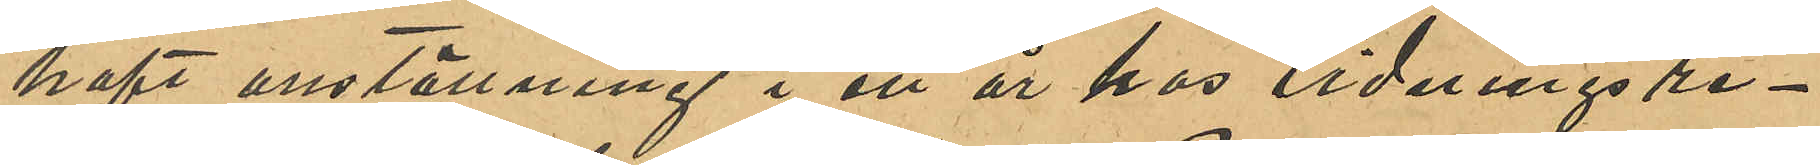haft anställning i ett år hos tidningsre¬
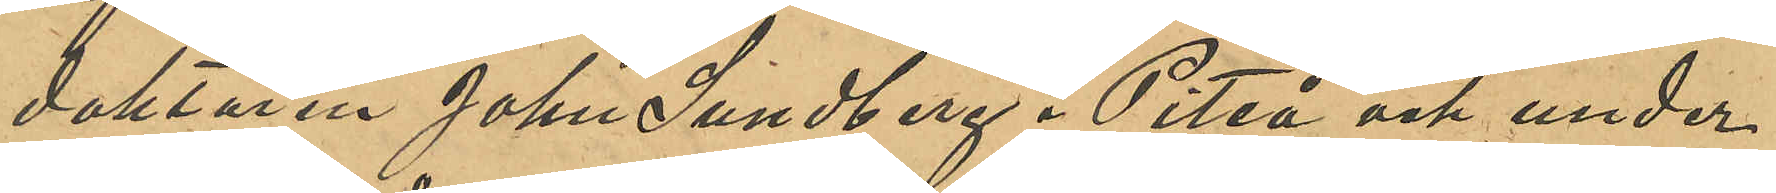daktören John Lundberg i Piteå och under
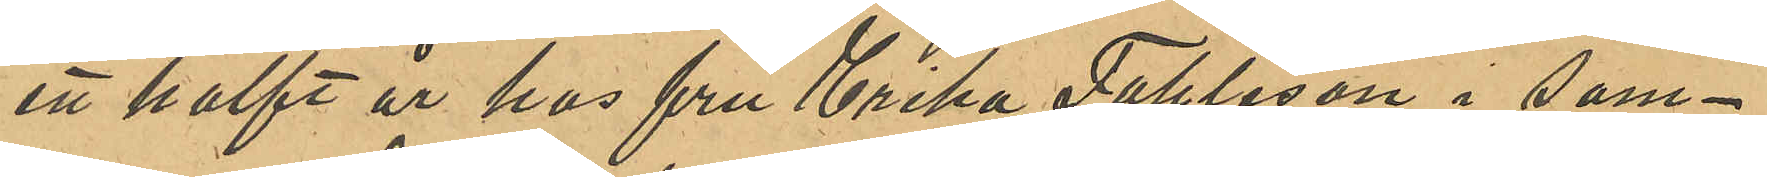ett halft år hos fru Erika Fahleson i sam¬
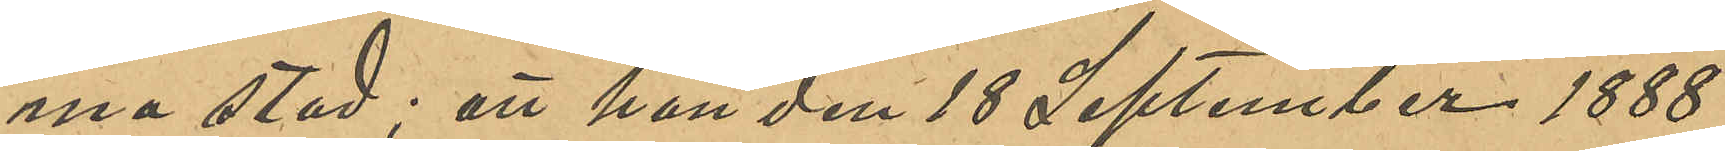ma stad; att hon den 18 September 1888
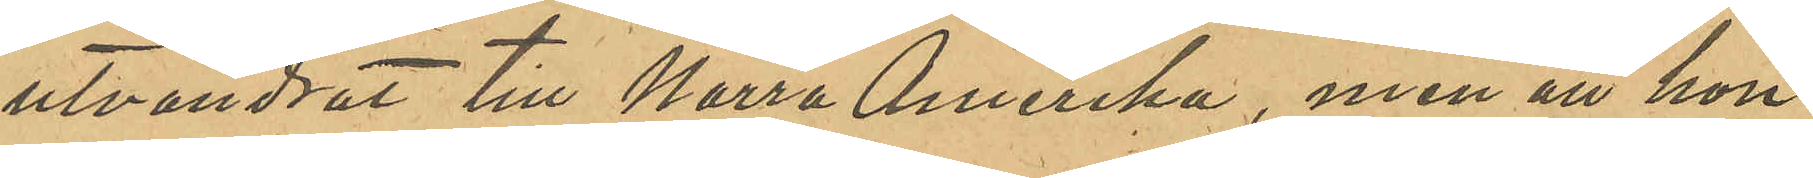utvandrat till Norra Amerika, men att hon
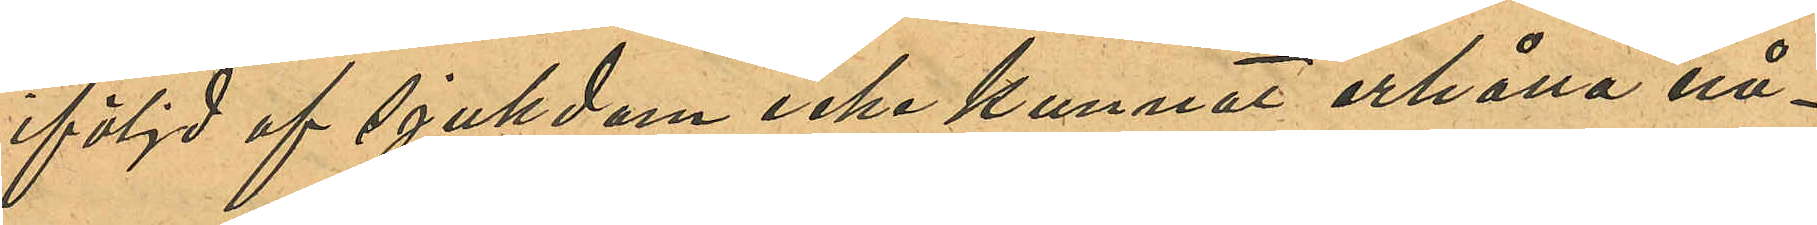iföljd af sjukdom icke kunnat erhålla nå¬
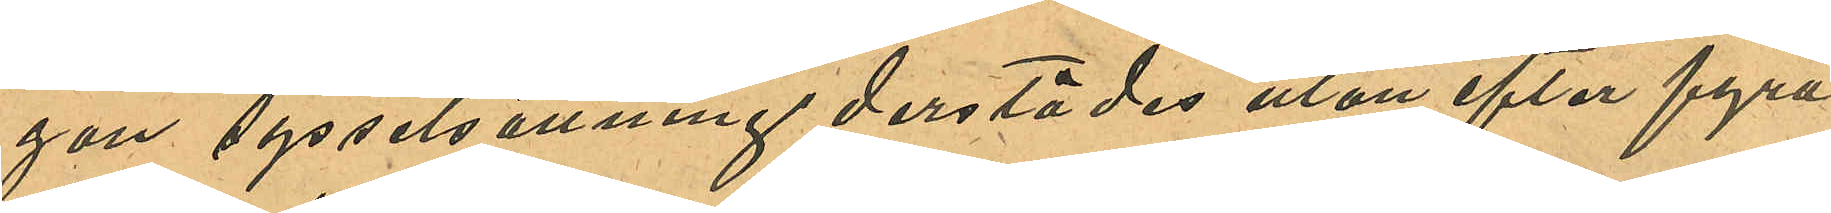gon sysselsättnings derstädes utan efter fyra
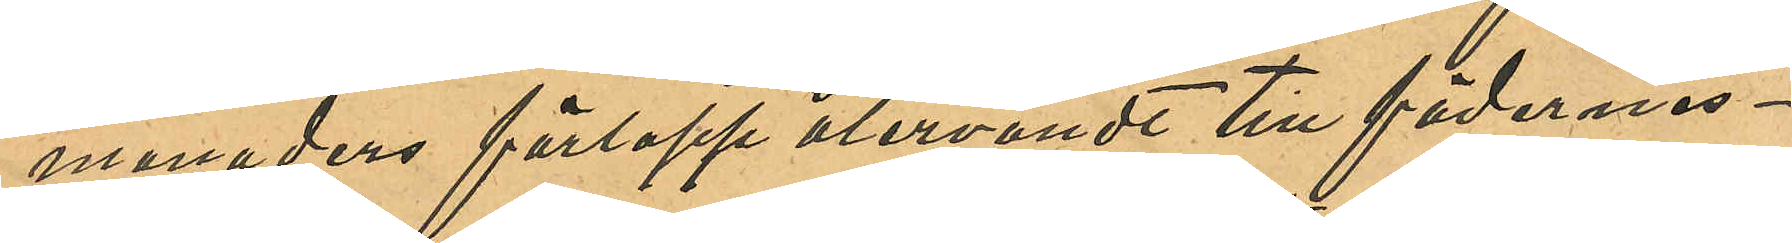månaders förlopp återvändt till fädernes¬
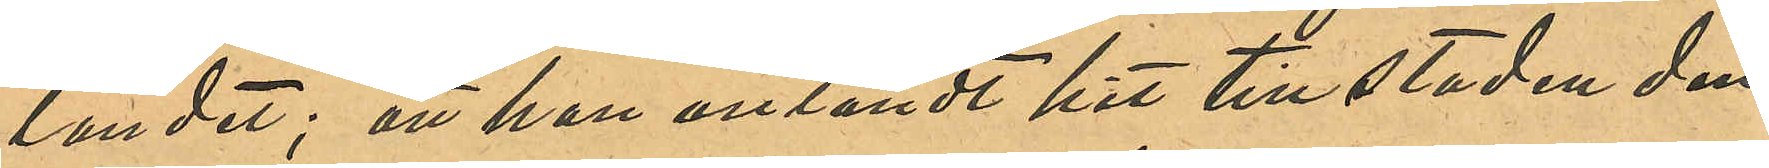landet; att hon anländt hit till staden den
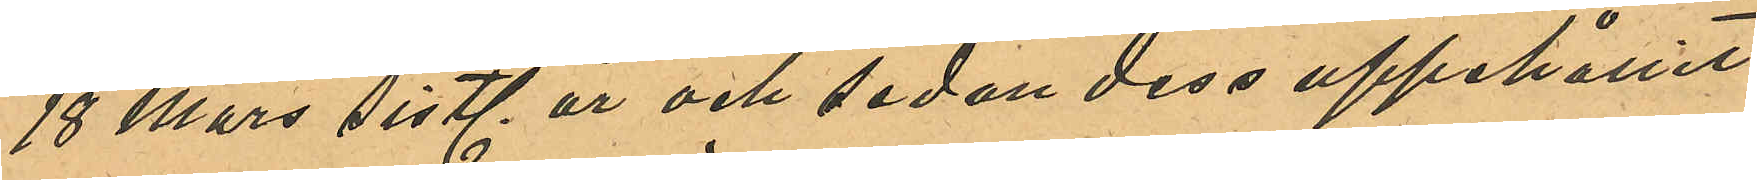18 Mars sistl. år och sedan dess uppehållit
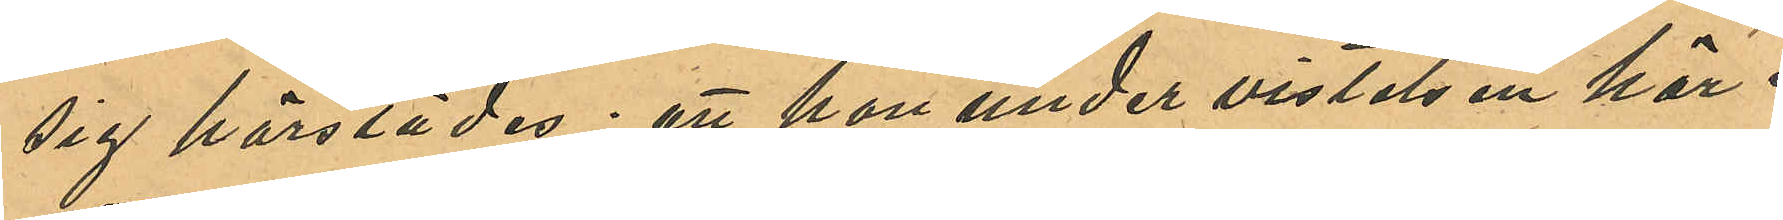sig härstädes; att hon under vistelsen här i
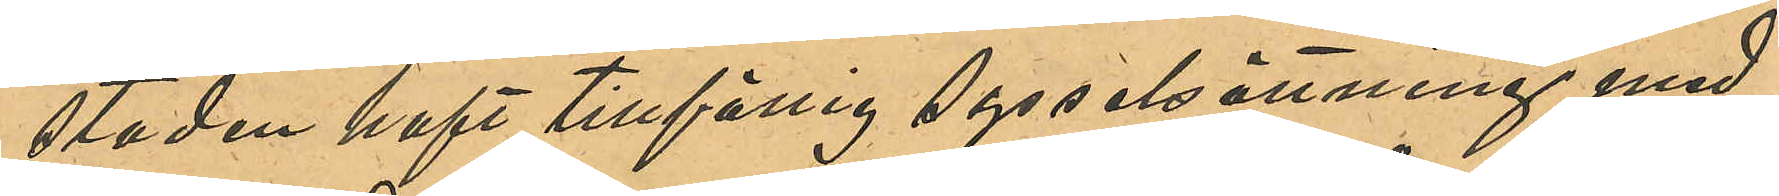staden haft tillfällig sysselsättning med
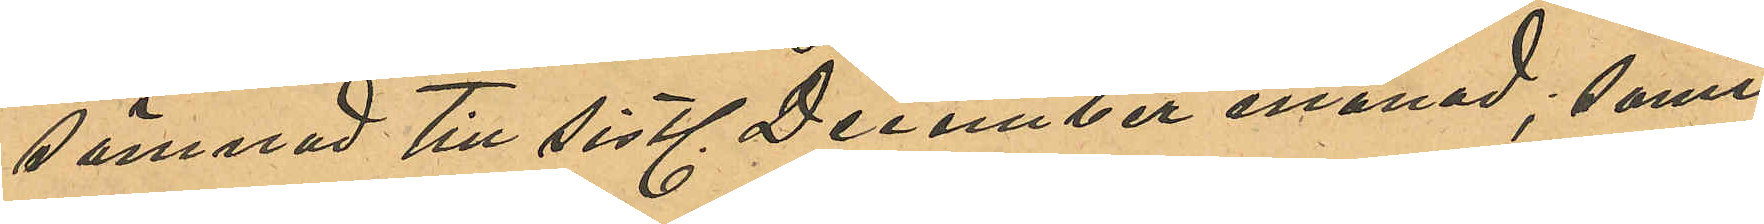sömnad till sistl. December månad; samt
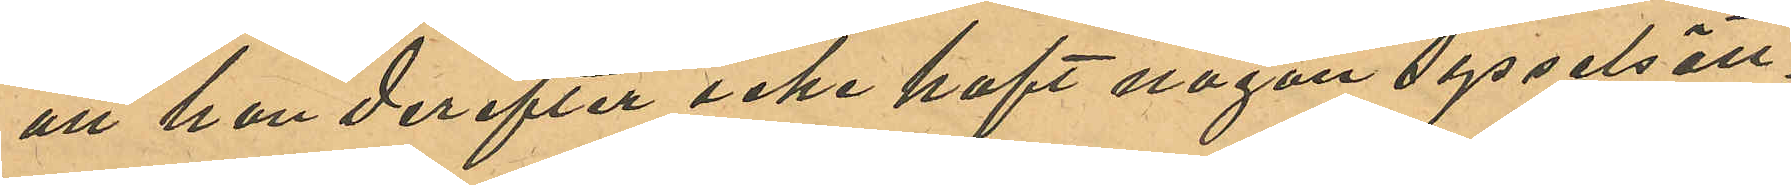att hon derefter icke haft någon sysselsätt¬
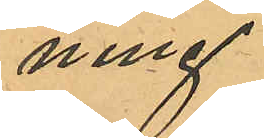ning.
